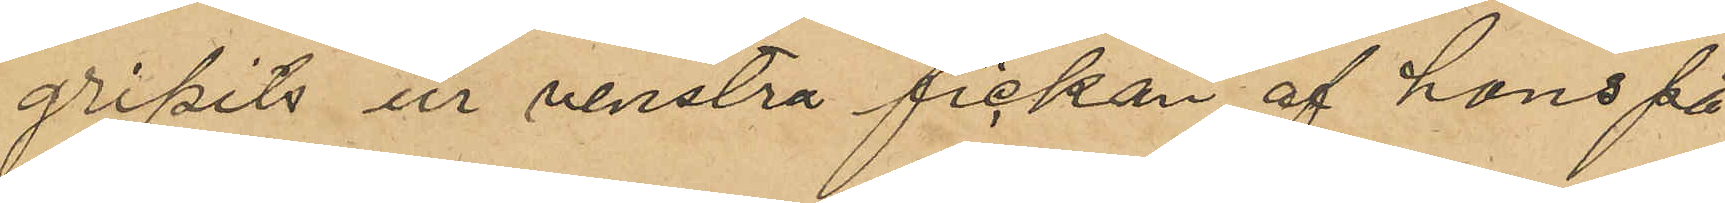gripits ur venstra fickan af hans på¬
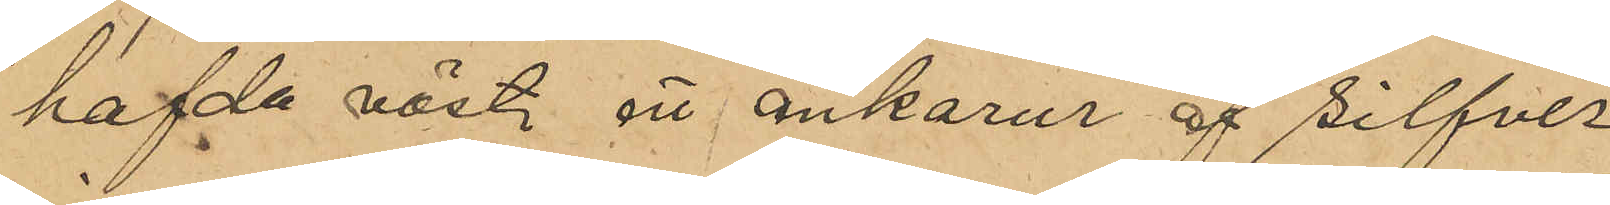hafde väst ett ankarur af silfver
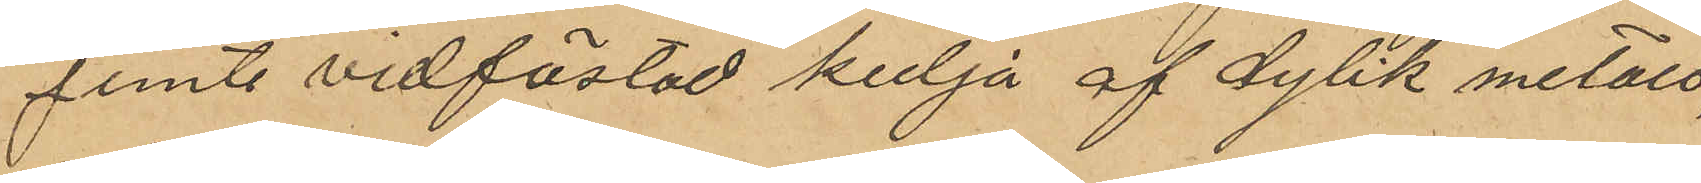jemte vidfästad kedja af dylik metall,
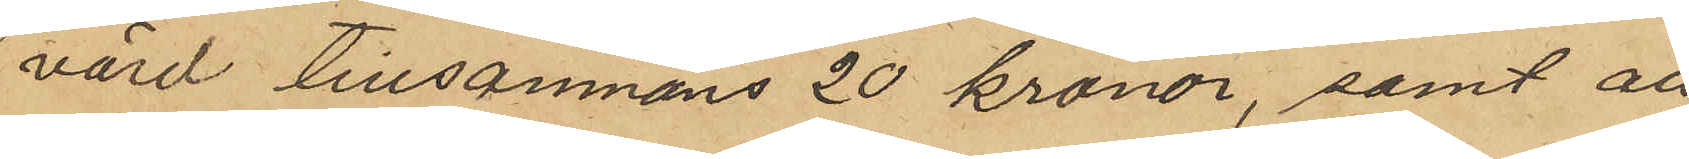värd tillsammans 20 kronor; samt att
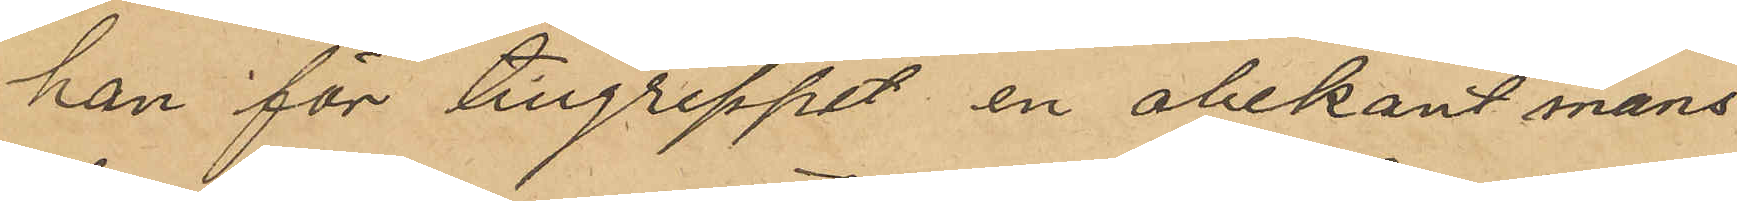han för tillgreppet en obekant mans¬
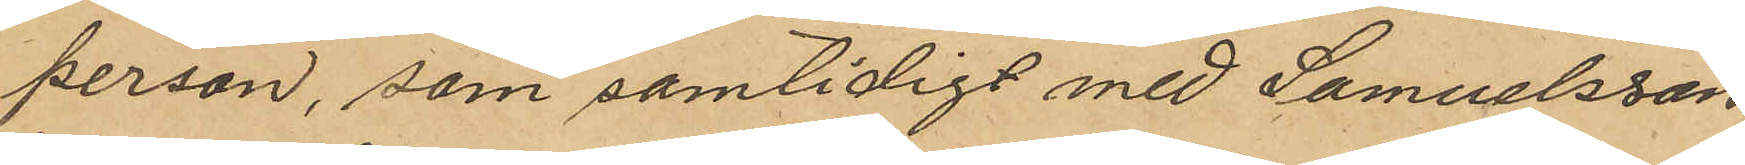person, som samtidigt med Samuelsson
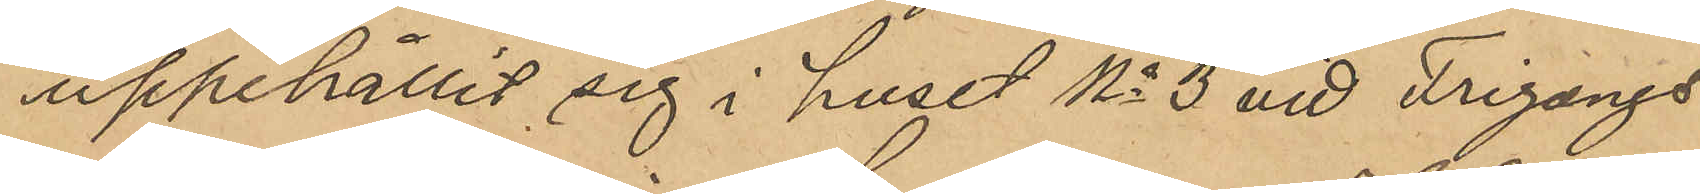uppehållit sig i huset No 3 vid Frigangs¬
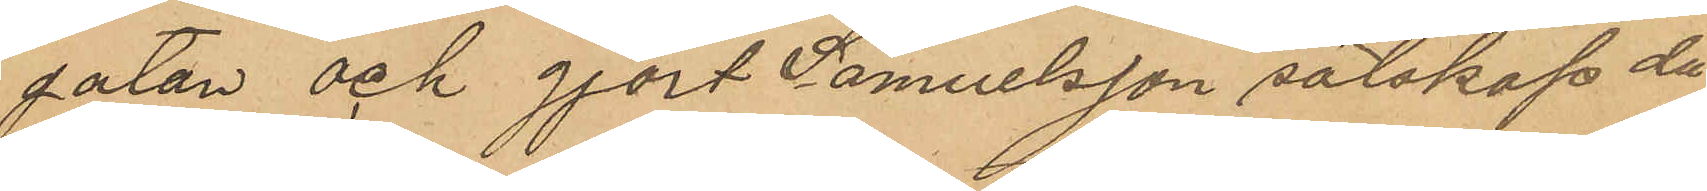gatan och gjort Samuelsson sälskap då
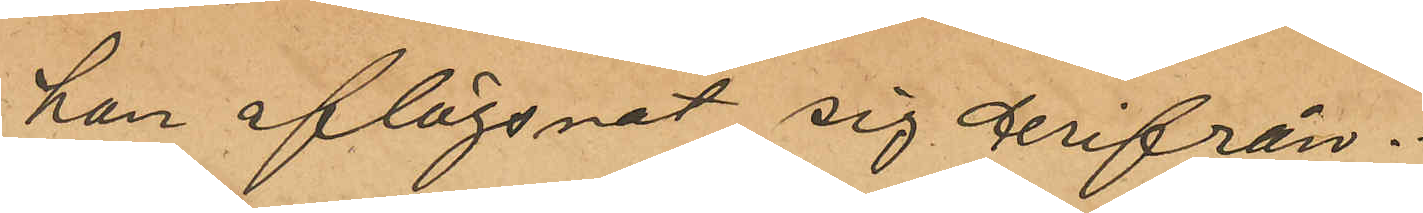han aflägsnat sig derifrån.
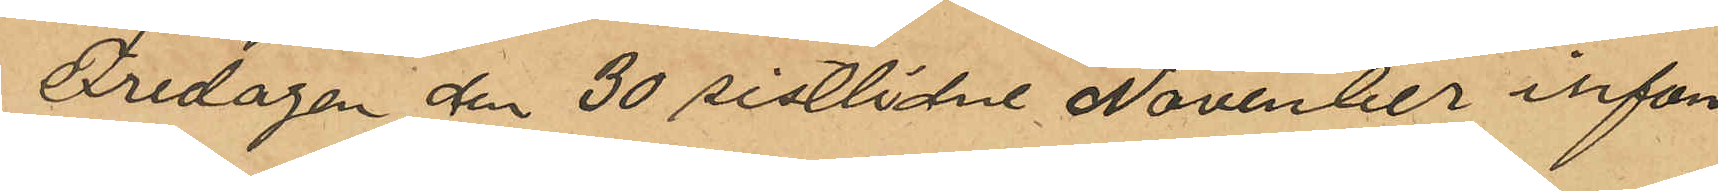Fredagen den 30 sistlidne November infann
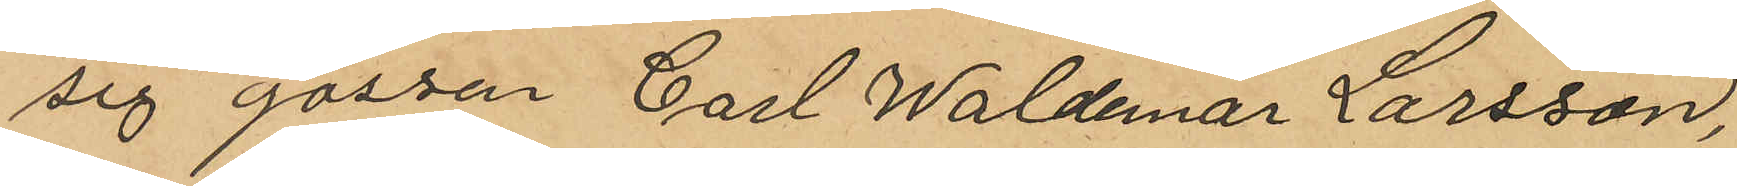sig gossen Carl Waldemar Larsson,
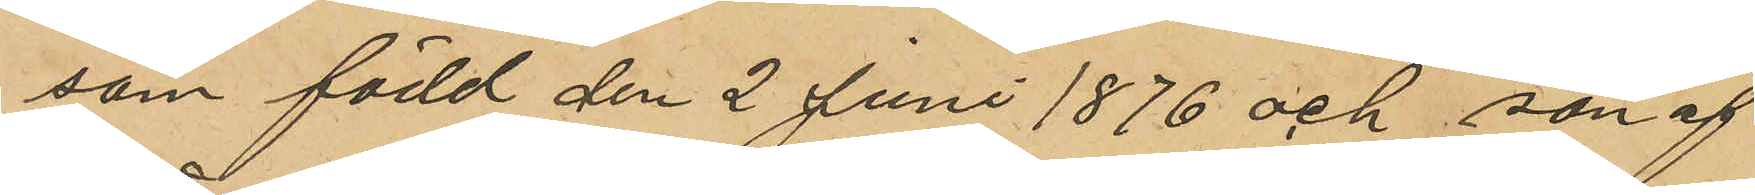som född den 2 Juni 1876 och son af
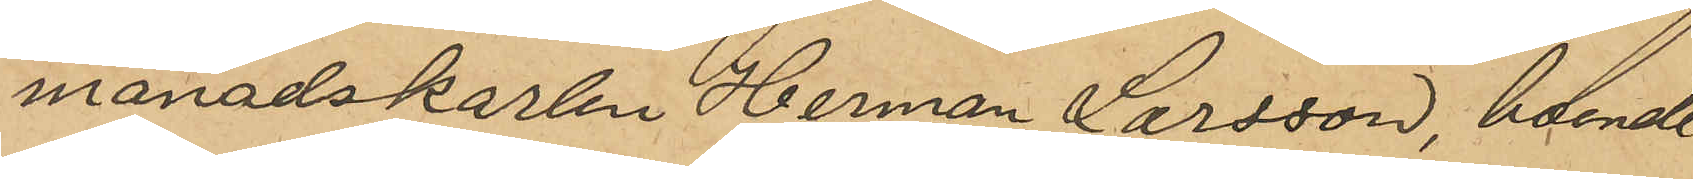månadskarlen Herman Larsson, boende
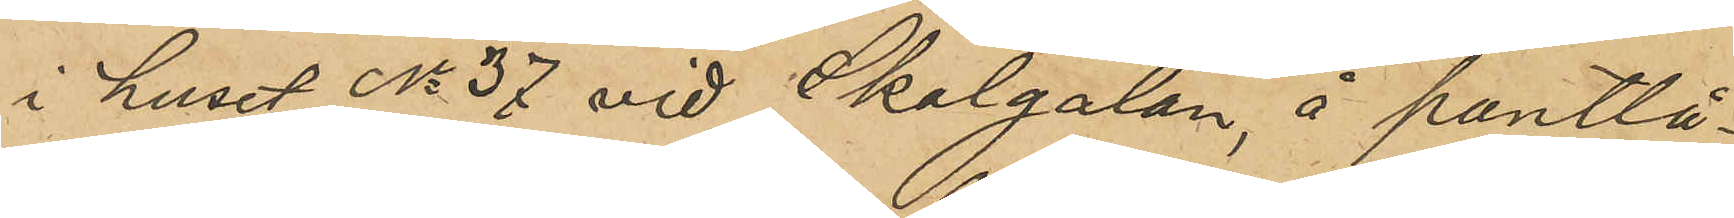i huset No 37 vid Skolgatan, å pantlå¬
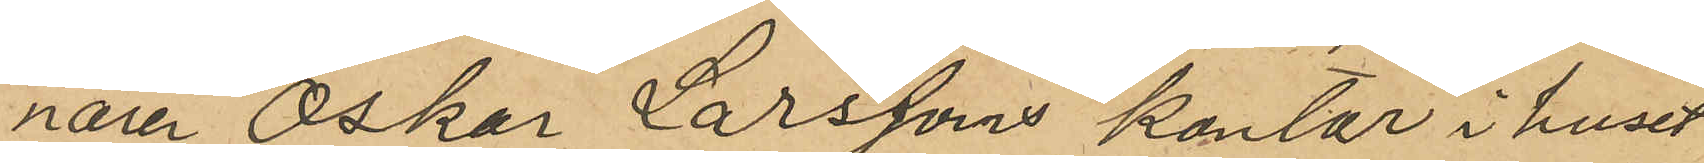naren Oskar Larssons kontor i huset
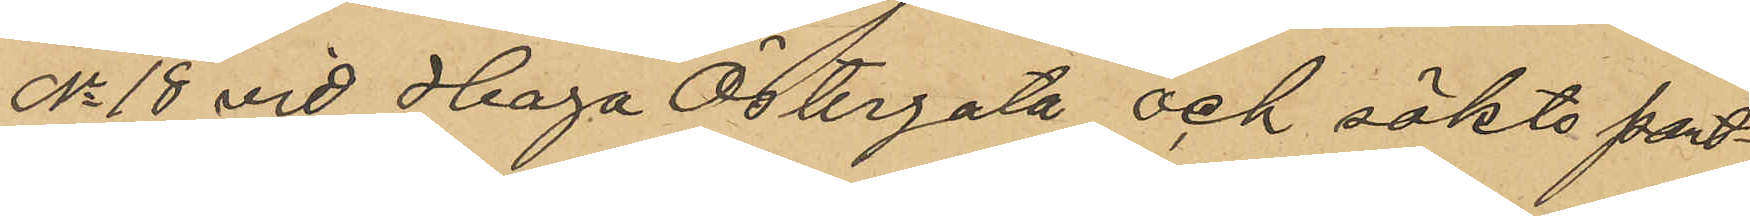No 18 vid Haga Östergata och sökte pant¬
